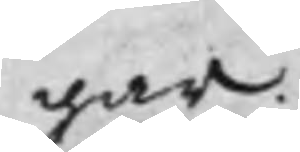gar.
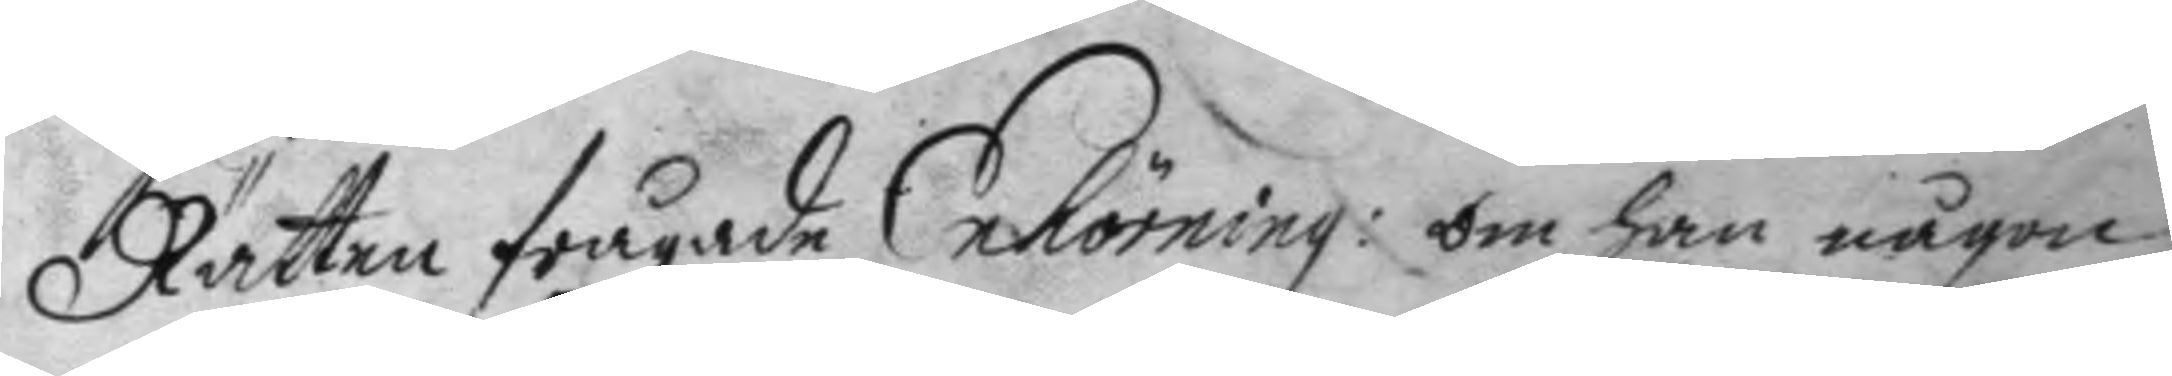Rätten frågade Enhörning: om han någon
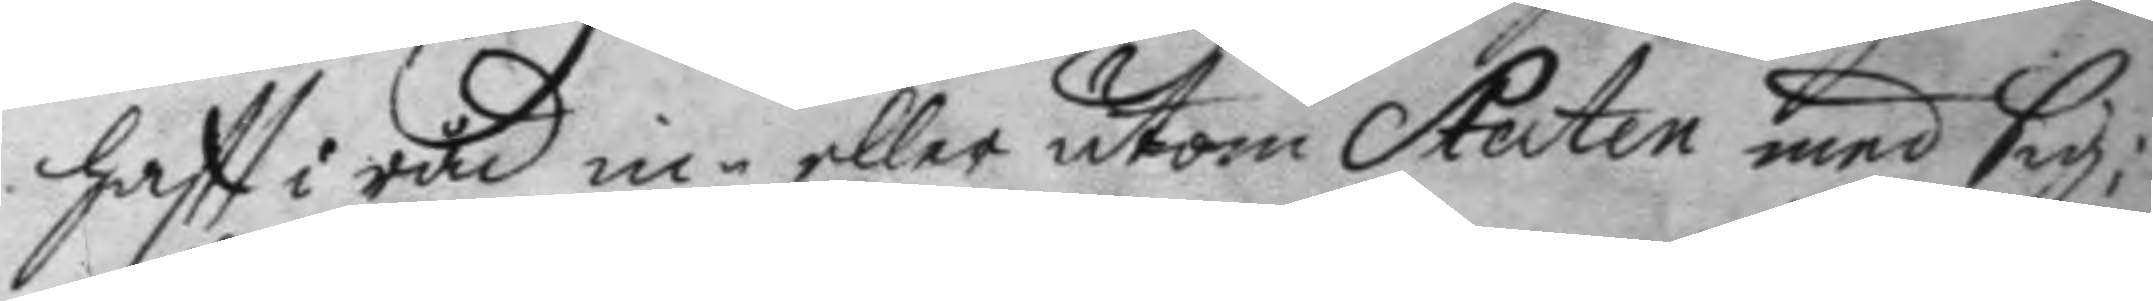haftt i råd in eller utom Staten med sig:
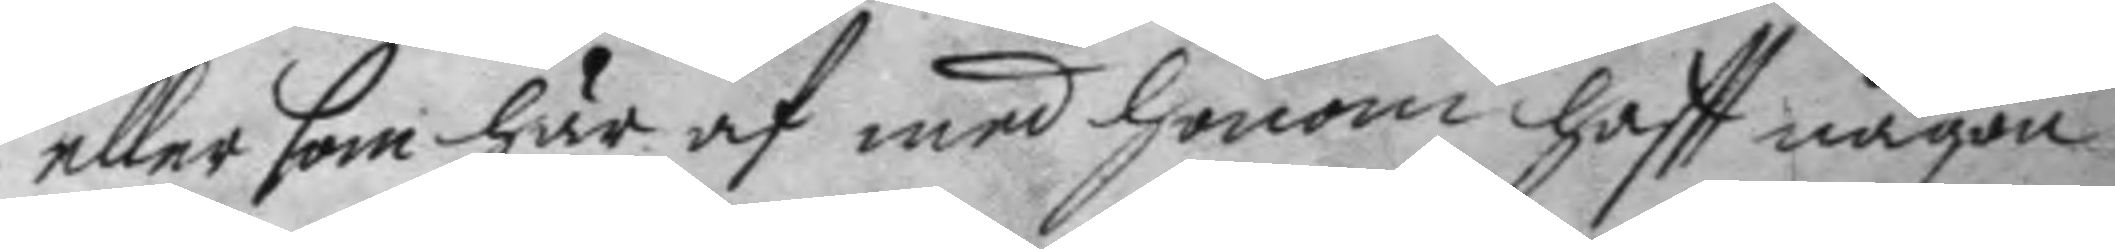eller som hur af med honom haftt någon
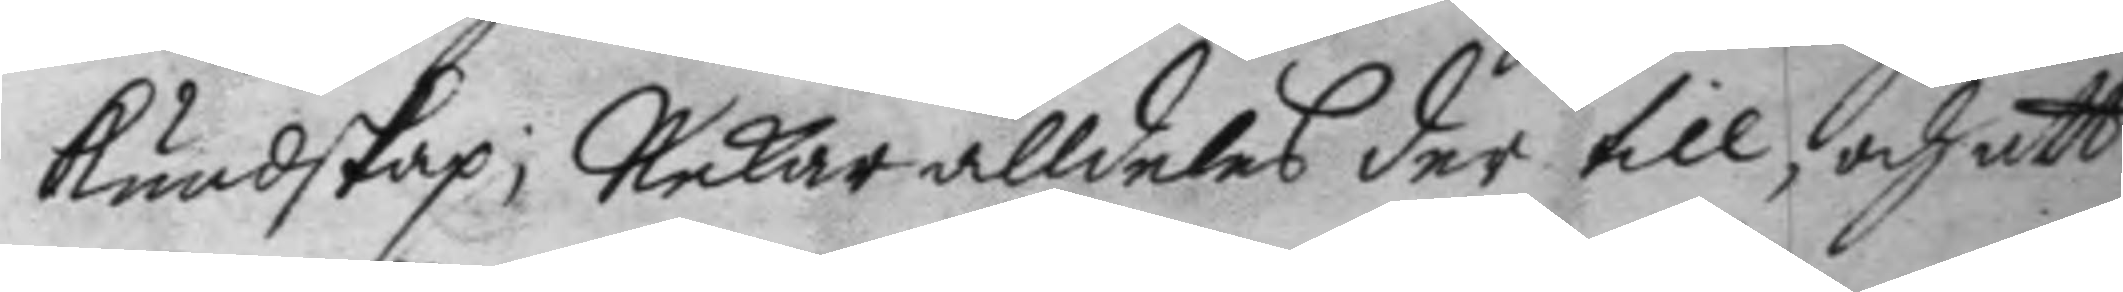kundskap; nekar alldeles der till, och att
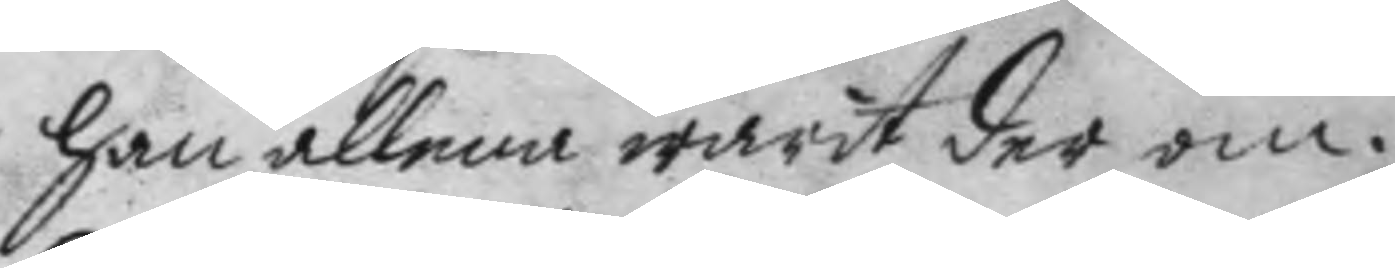han allena warit der om.
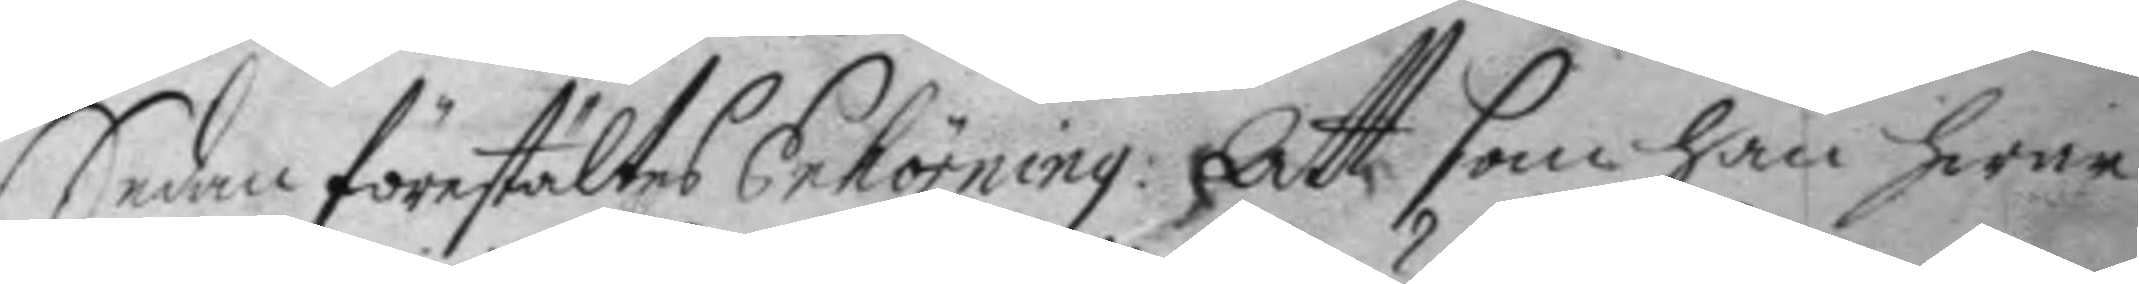sedan förestältes Enhörning: Att som han i hwar
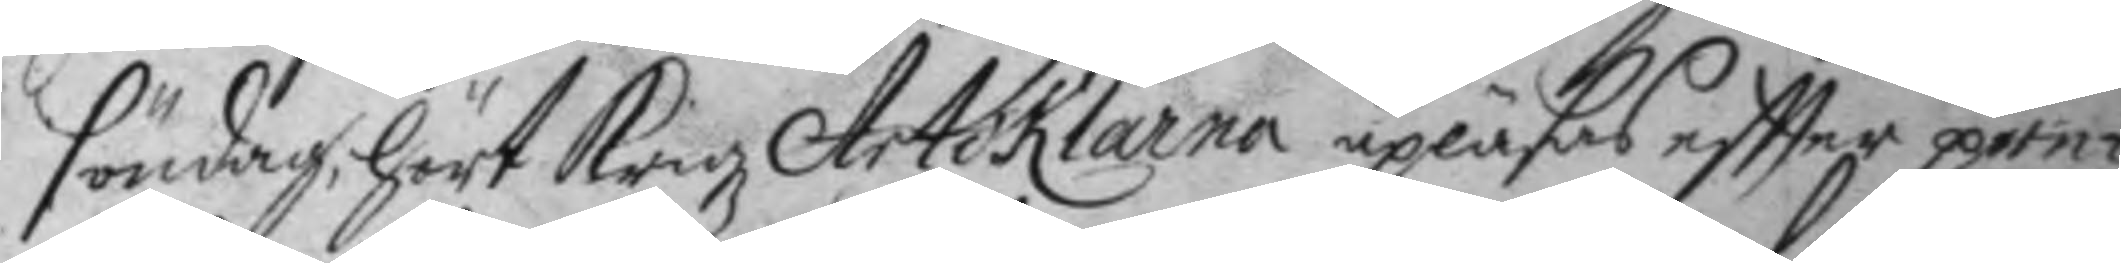söndag, hört Krigz Artiklarna upläsas eftter pre¬
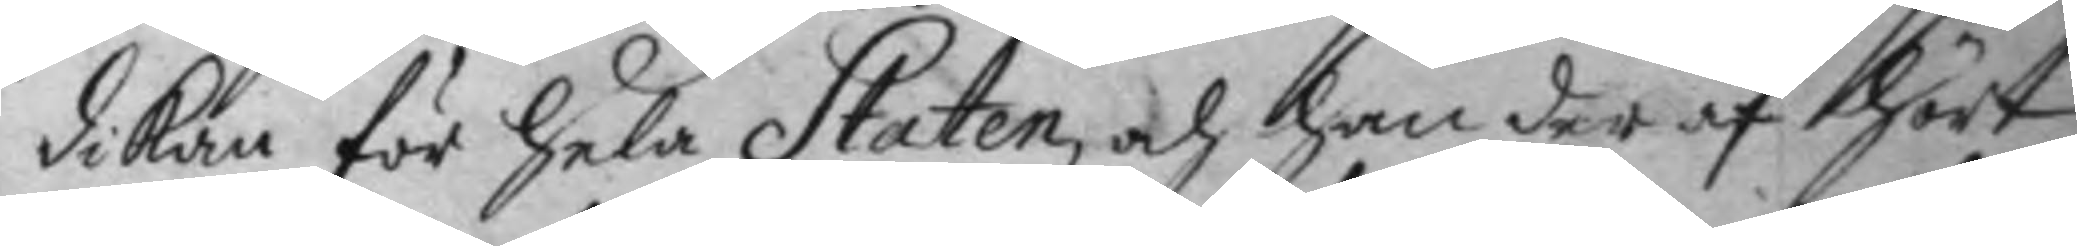dikan för hela Staten, och han der af hört
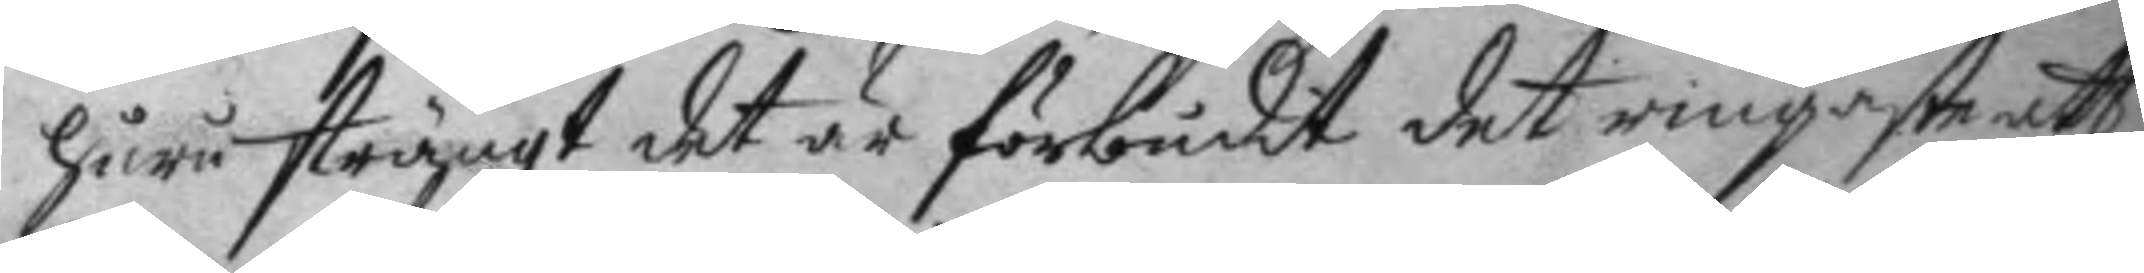huru strängt det är förbudit det ringaste att
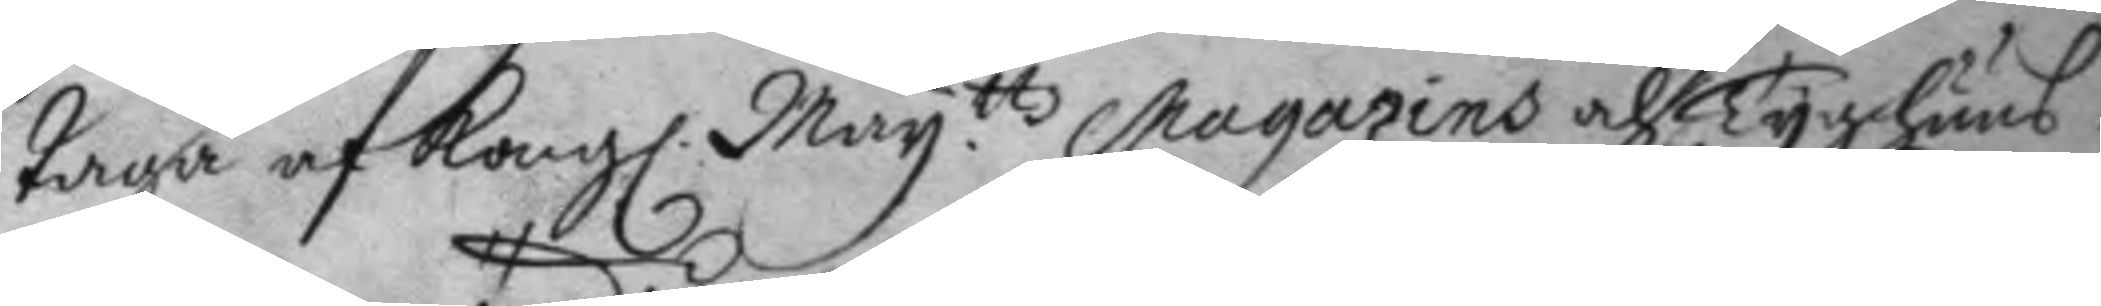taga af Kongl. May.ttz magazins och Tyghuus
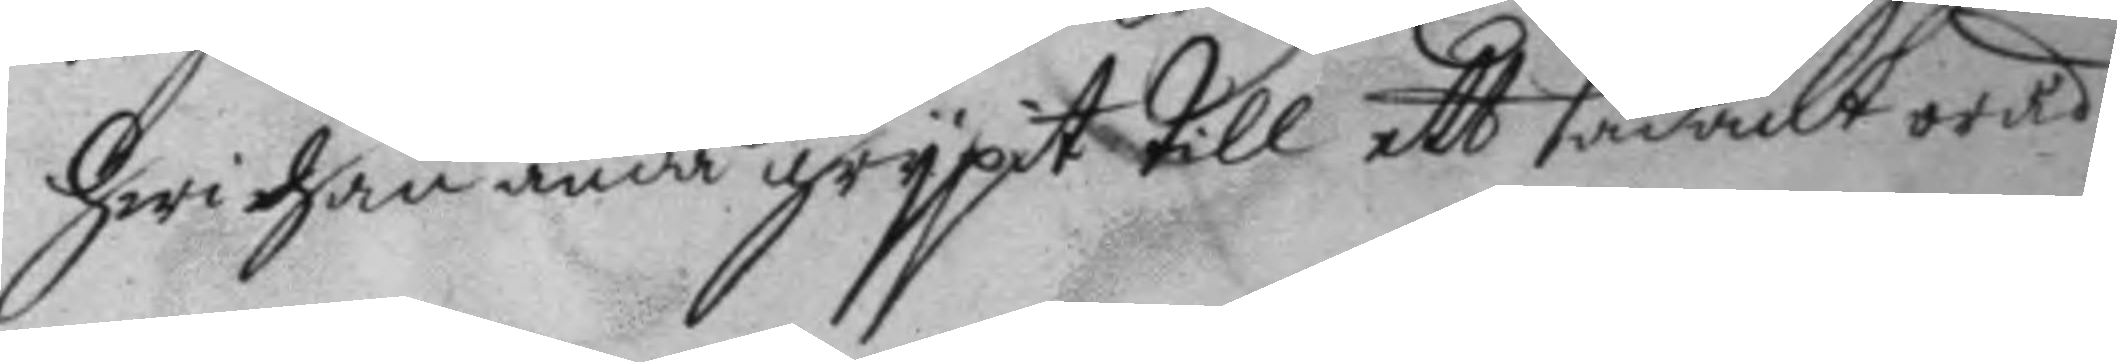hwi han ändå grypit till ett sådant oråd
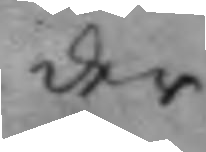der
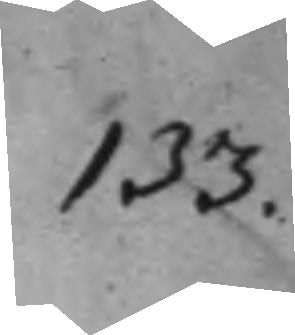133.
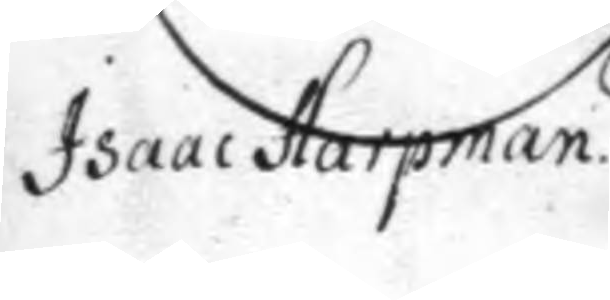Isaac Harpman.
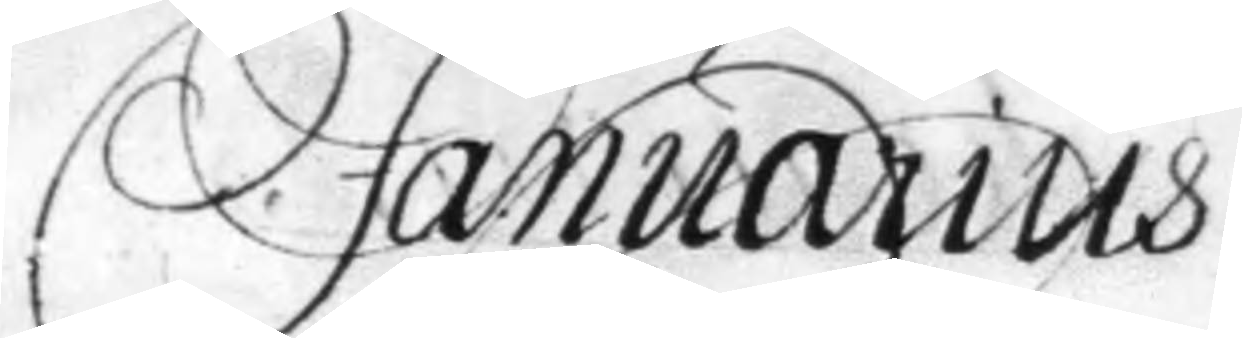Januarius
